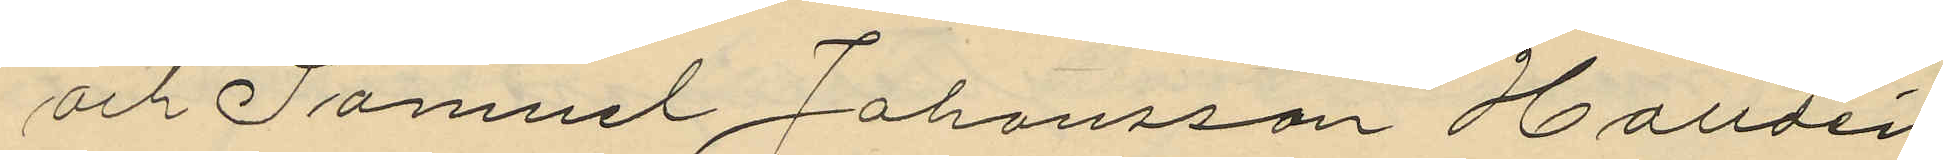och Samuel Johansson Halldén
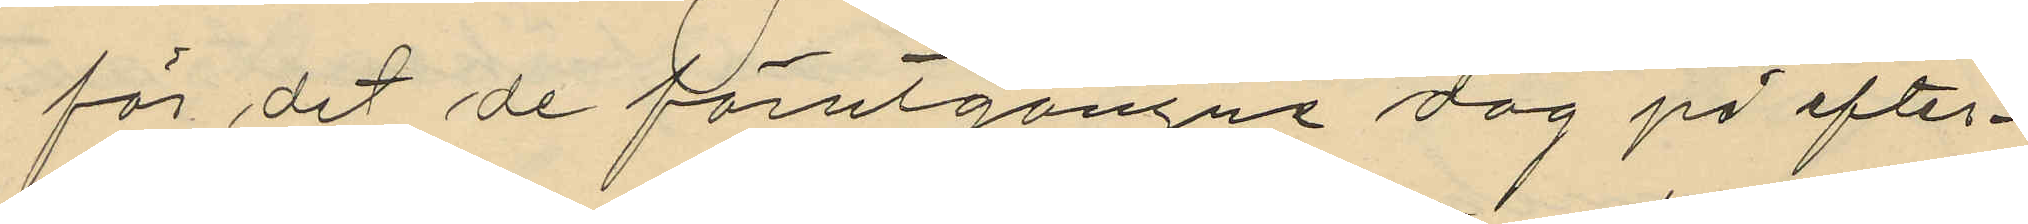för det de förutgångne dag på efter¬
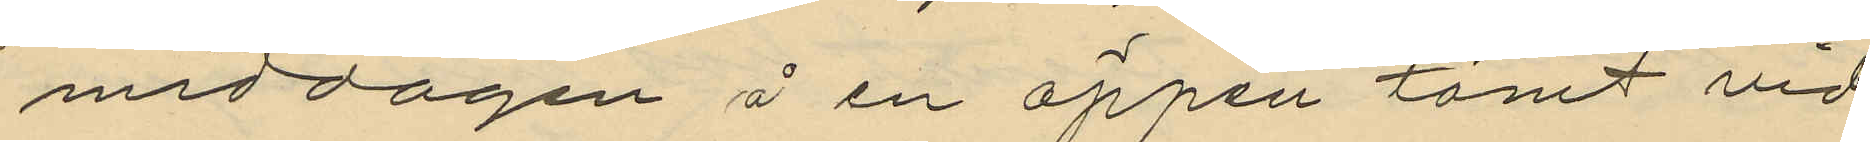middagen å en öppen tomt vid
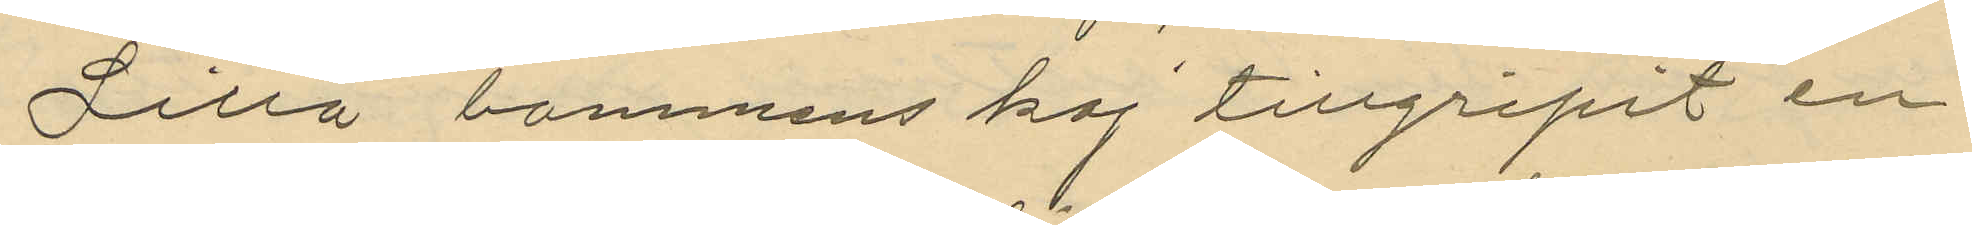Lilla bommens kaj tillgripit en
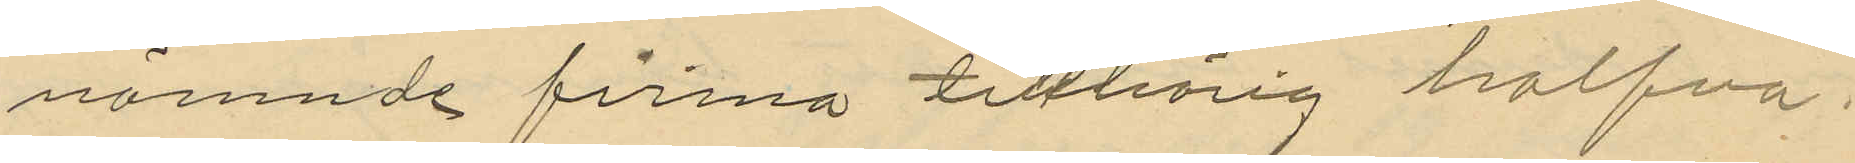nämnde firma tillhörig halfva
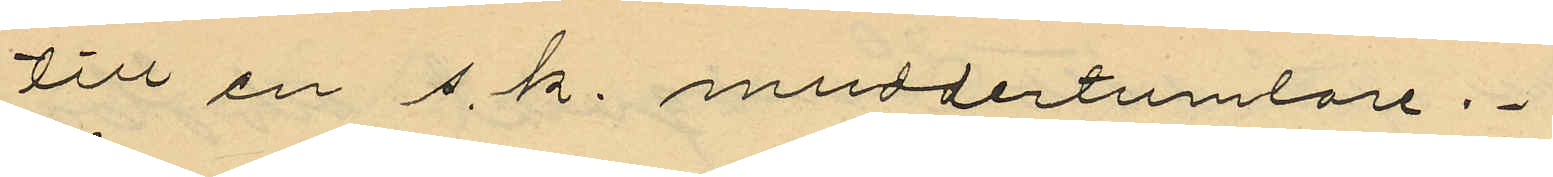till en s.k. muddertumlare.
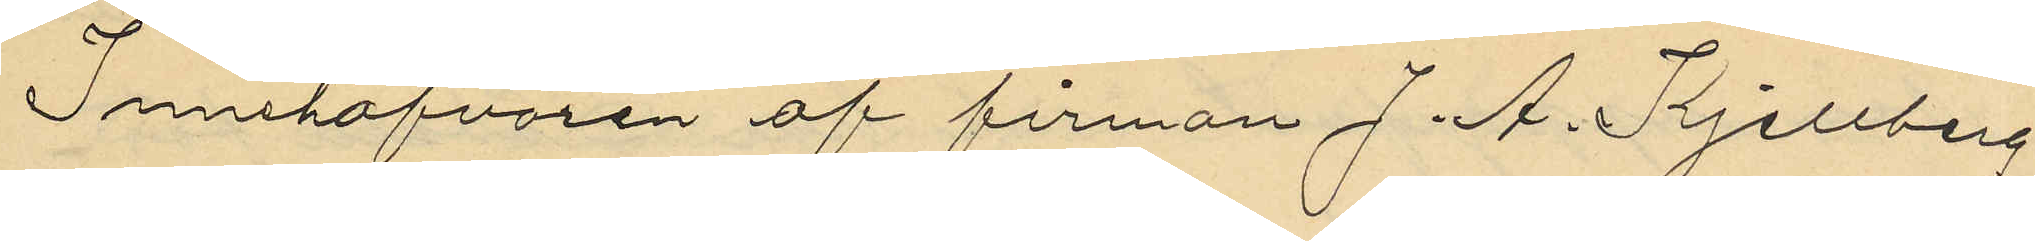Innehafvaren af firman J. A. Kjellberg
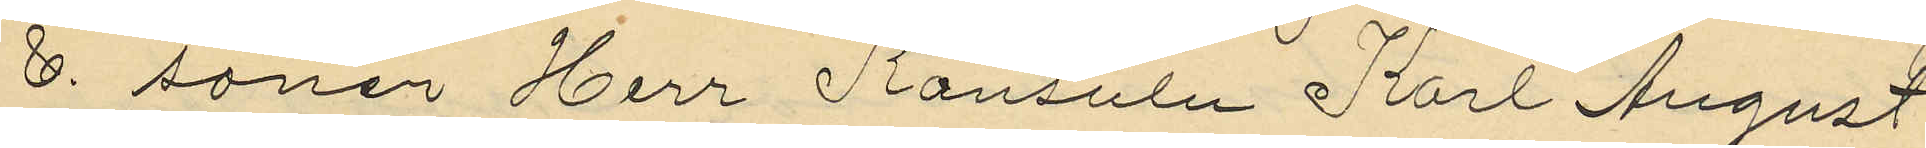& söner Herr Konsuln Karl August
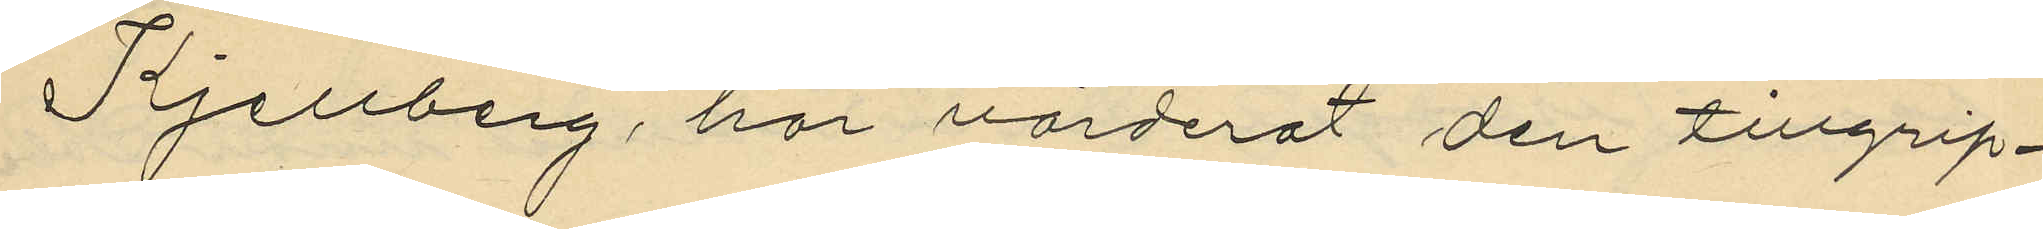Kjellberg, har värderat den tillgrip¬
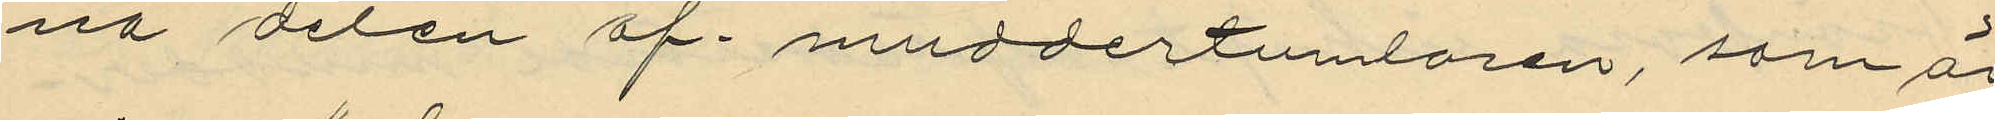na delen af muddertumlaren, som är
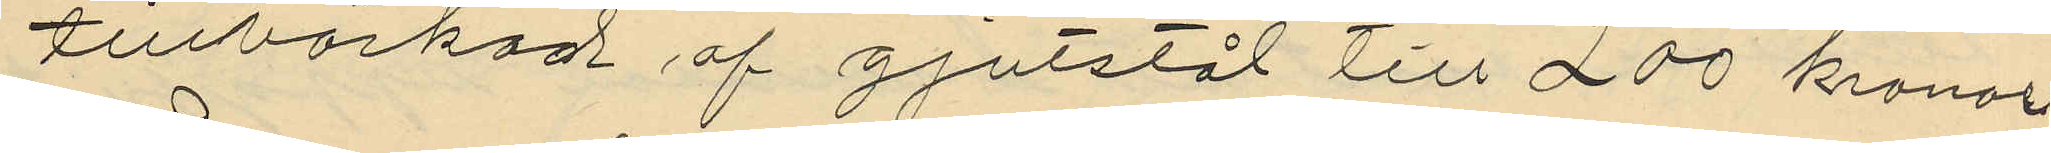tillverkad af gjutstål till 200 kronor.
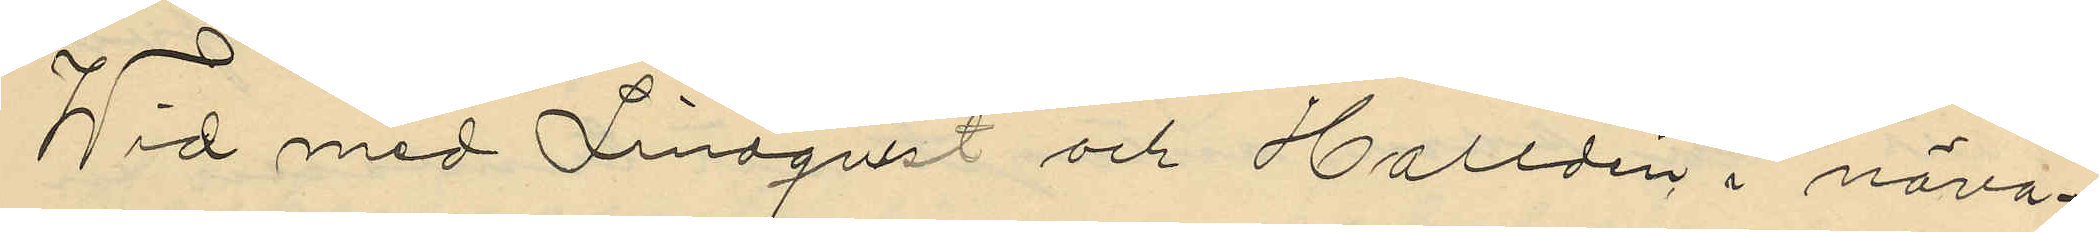Wid med Lindqvist och Halldén i närva¬
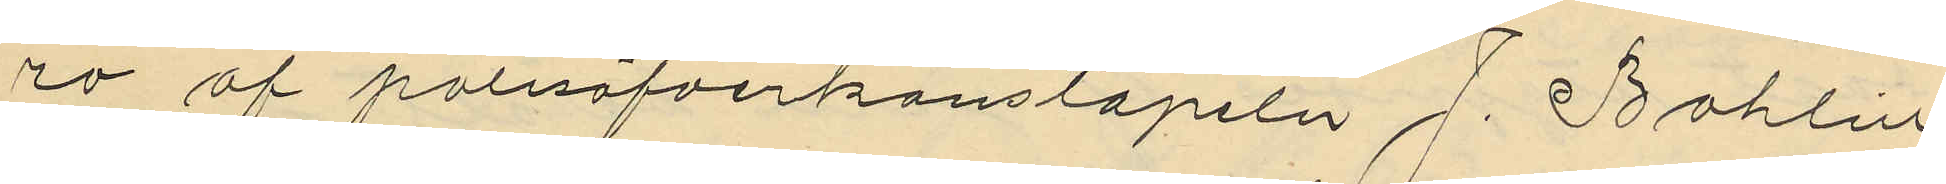ro af polisöfverkonstapeln J. Bohlin
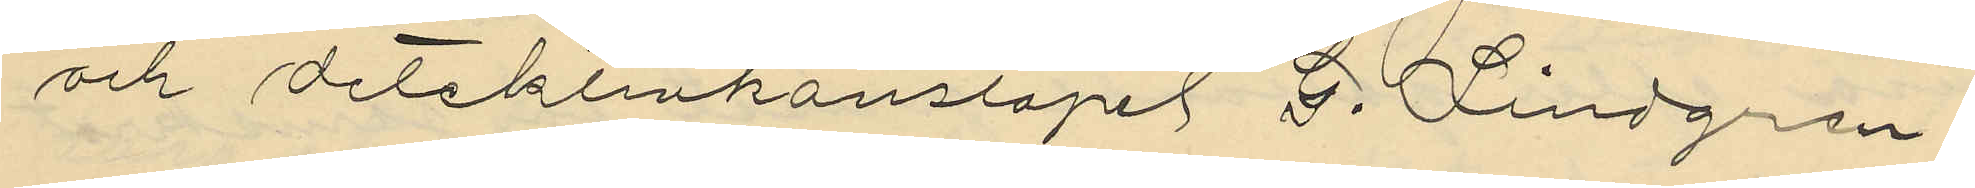och detektivkonstapel G. Lindgren
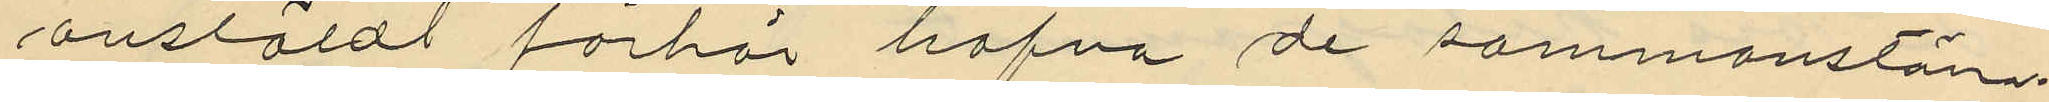anstäldt förhör hafva de sammanstäm¬
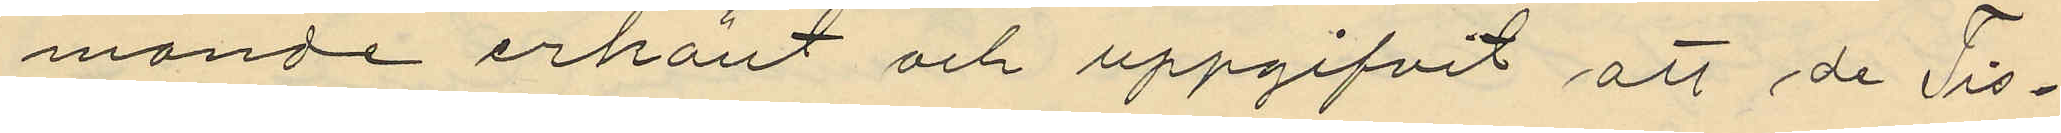mande erkänt och uppgifvit att de Tis¬
